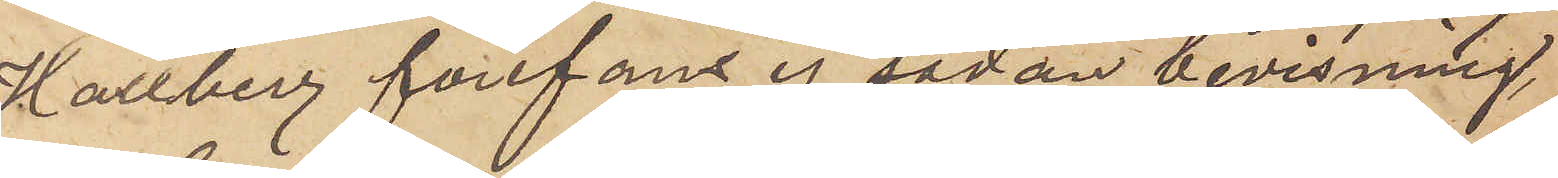Hallberg förefans ej sådan bevisning,
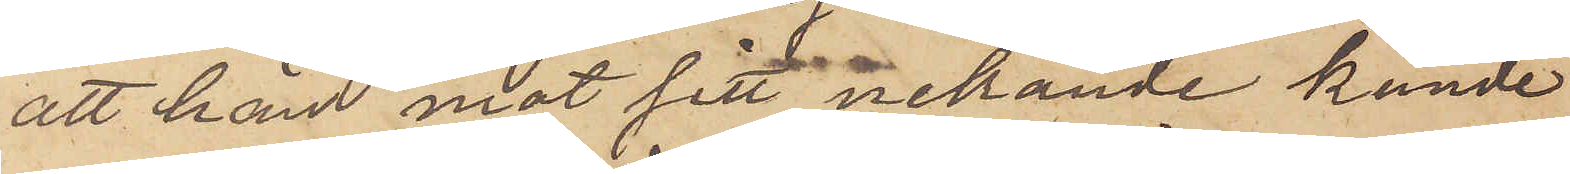att han mot sitt nekande kunde
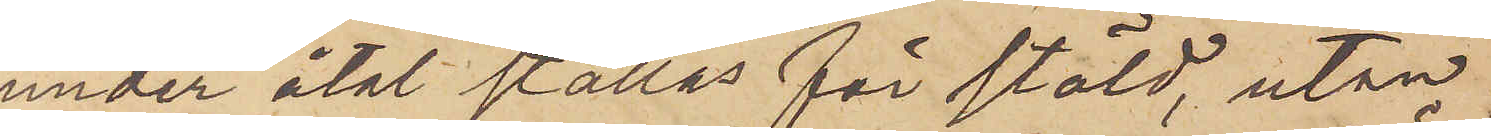under åtal ställas för stöld, utan
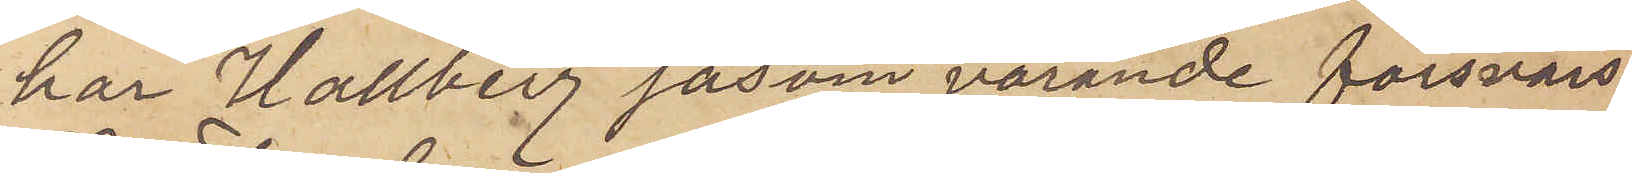har Hallberg såsom varande försvars¬
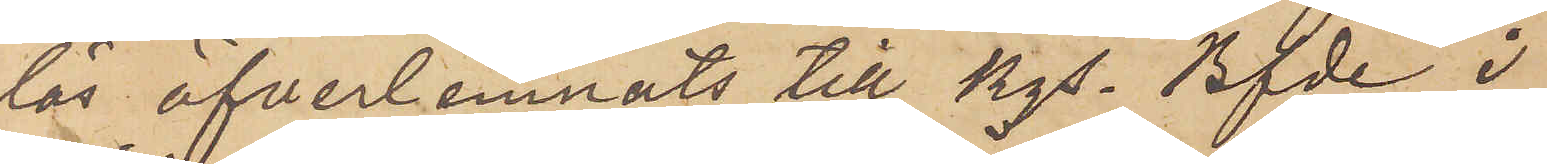lös öfverlemnats till Kgs. Bfde i
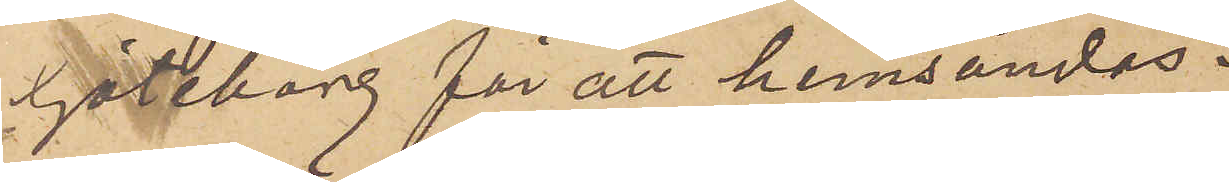Göteborg för att hemsändas.
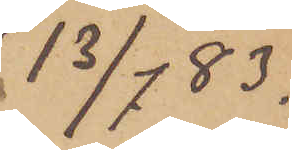13/7 83.
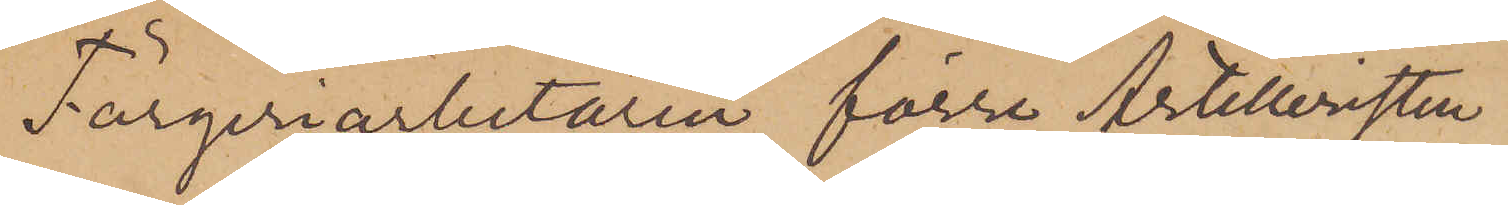Färgeriarbetaren, förre Artilleristen
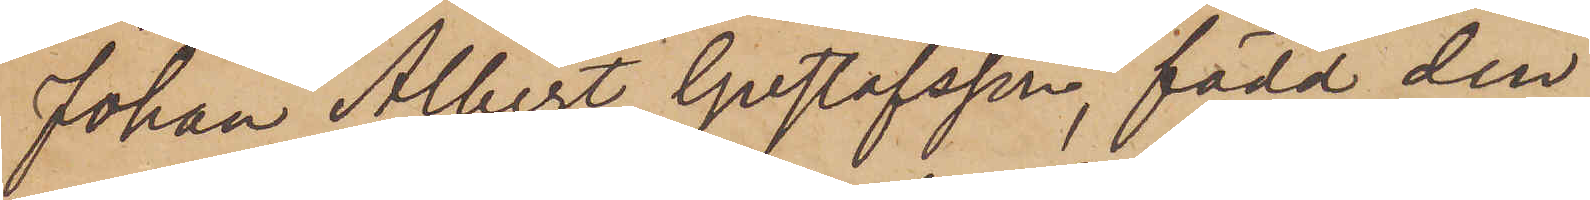Johan Albert Gustafsson, född den
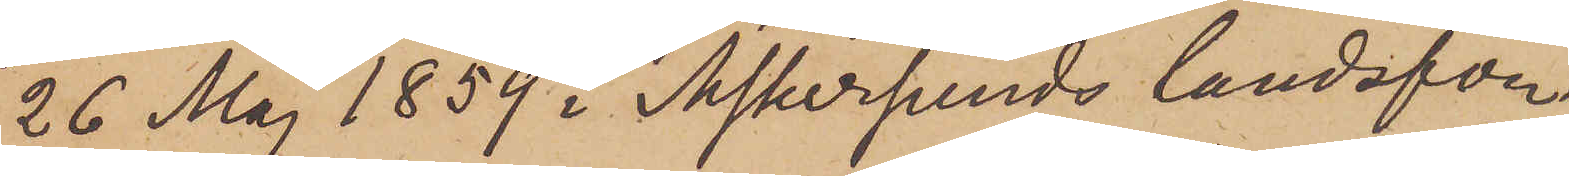26 Maj 1859 i Askersunds landsför¬
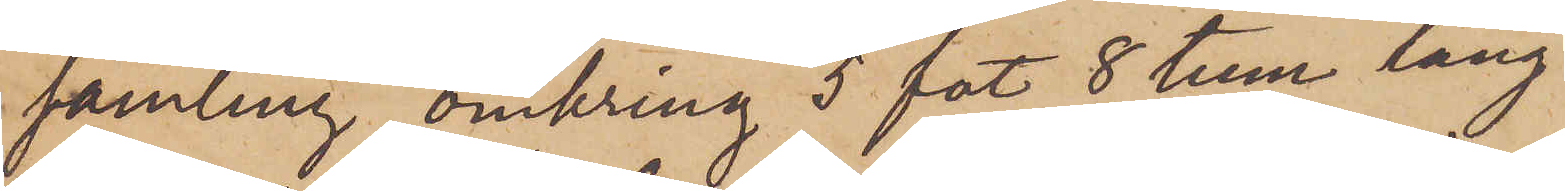samling, omkring 5 fot 8 hem lång
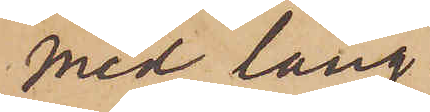med lång
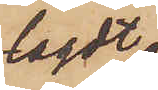lagdt
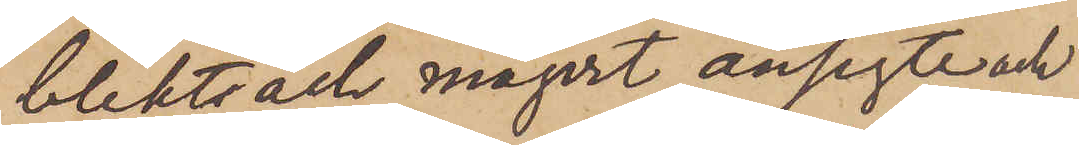blekt och magert ansigte och
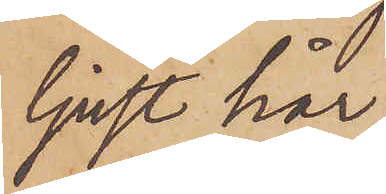ljust hår,
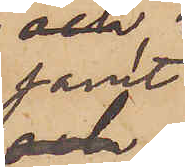samt
